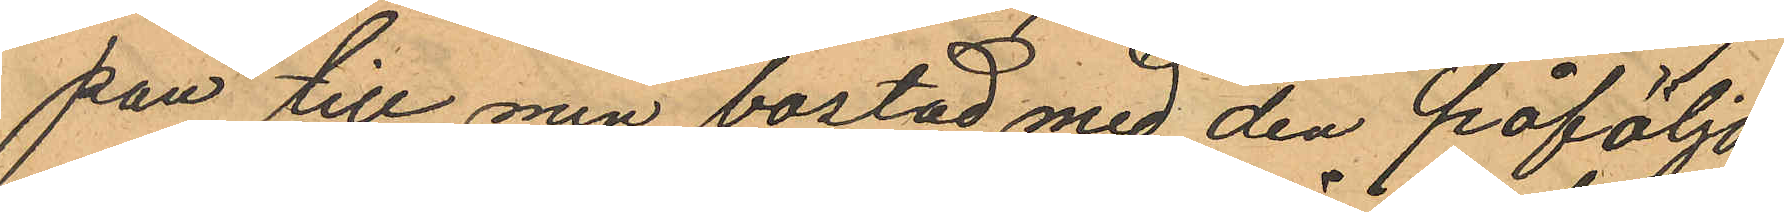pan till min bostad med den påföljd
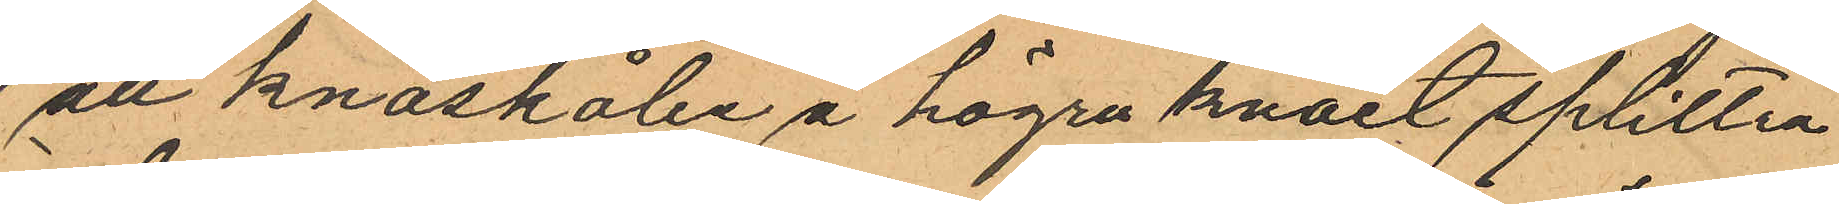all knäskålen å högra knäet splittra
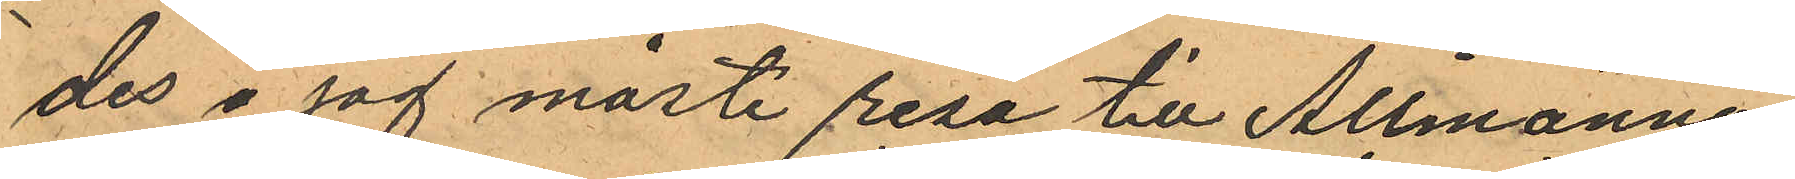des å jag måste resa till Allmänna
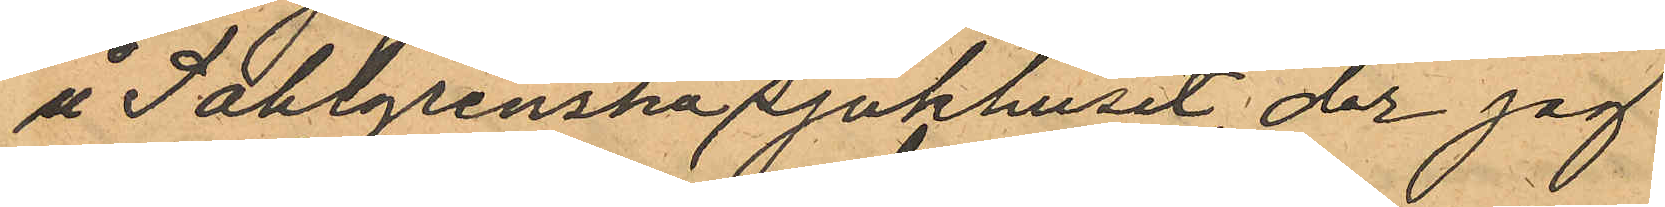å Sahlgrenska sjukhuset, der jag
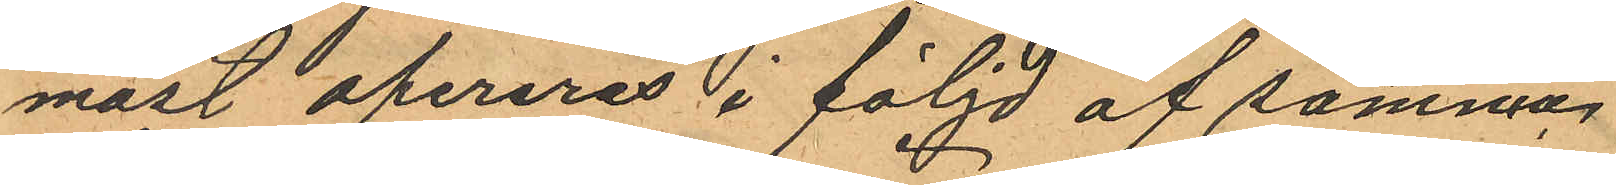måst opereras i följd af samma,
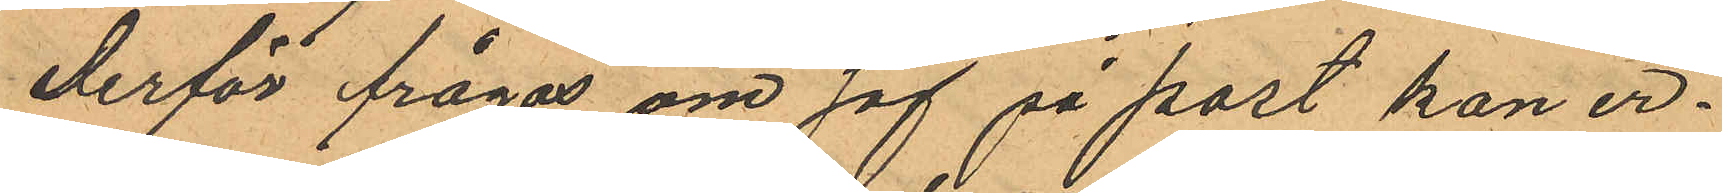derför frågas om jag på post kan er¬
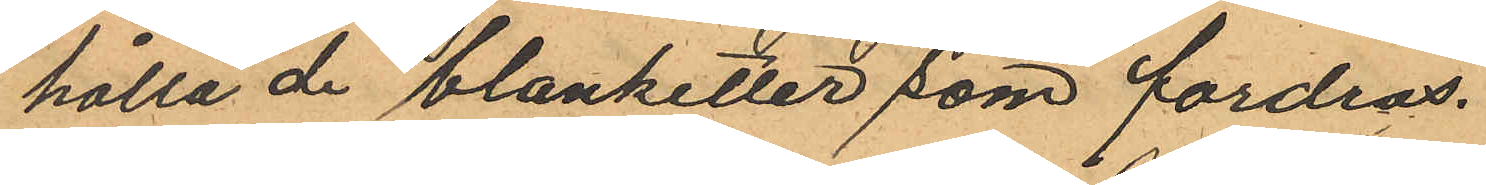hålla de blanketter som fordras.
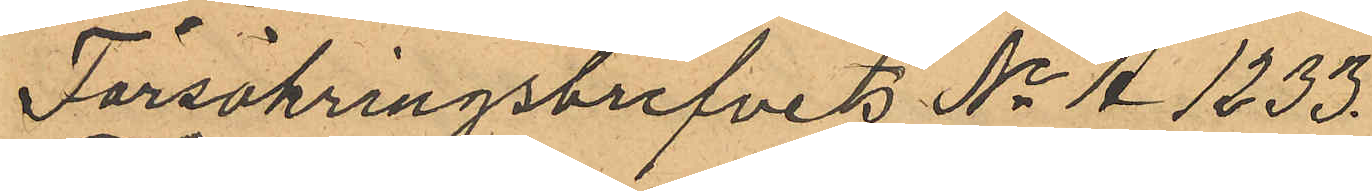Försäkringsbrefvets No A 1233.
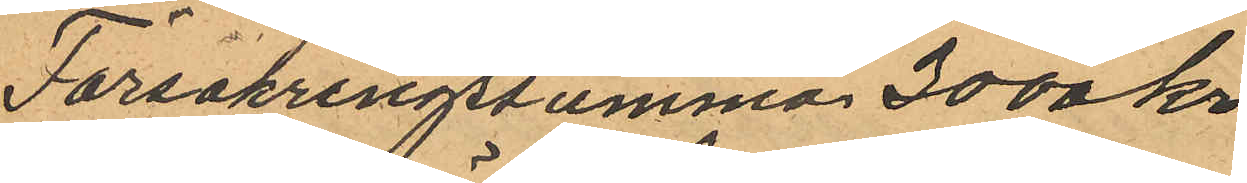Försakringssumma 3000 kr
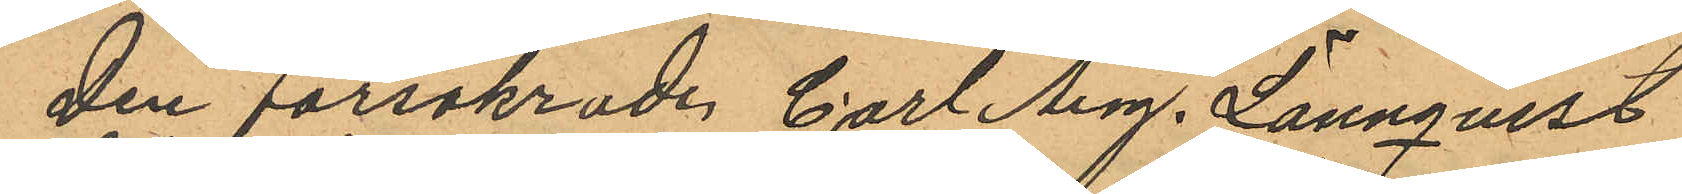Den försäkrade Carl Aug. Lönnqvist
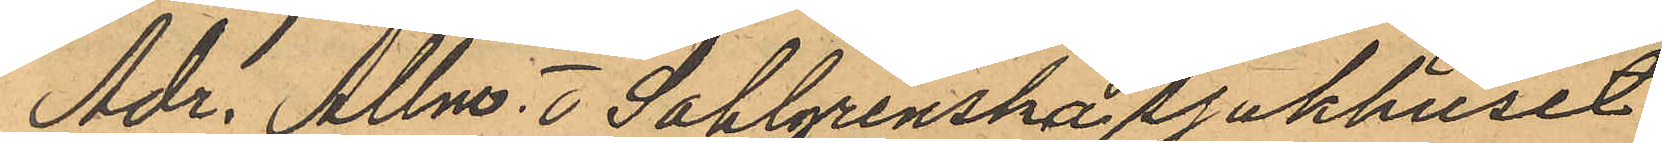Adr. Allm. o Sahlgrenska sjukhuset
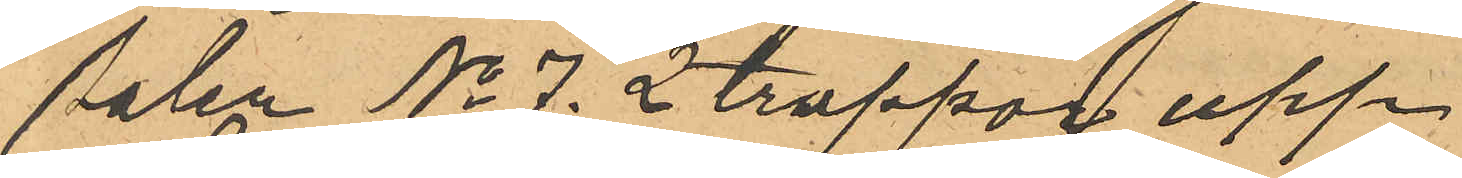Salen No 7. 2 trappor upp
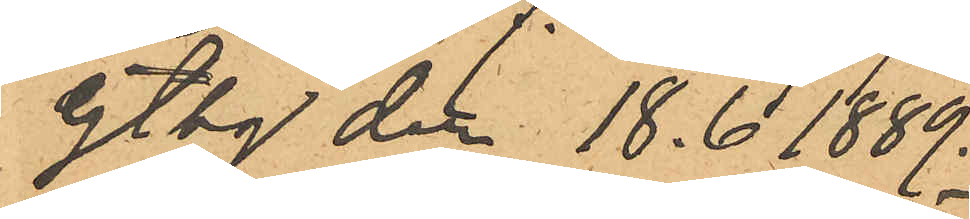Gtbg der 18.6 1889.
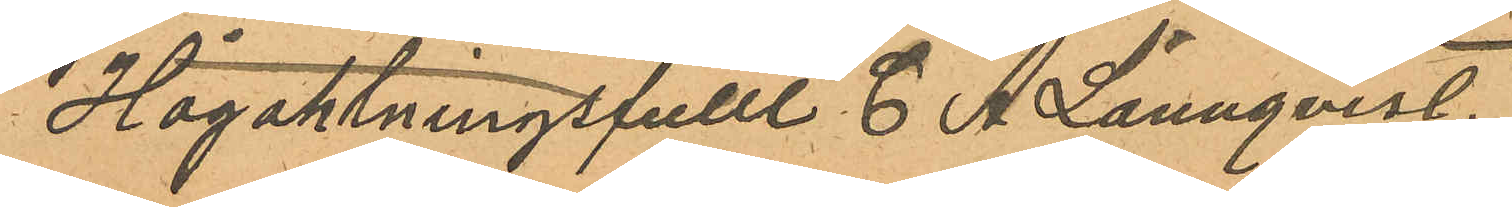Högaktningsfullt C A Lönnqvist,
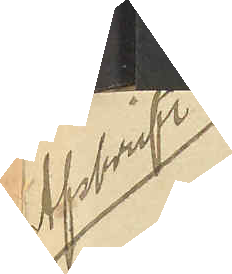Afskrift
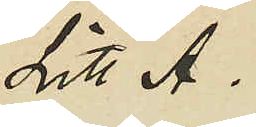Litt A.
